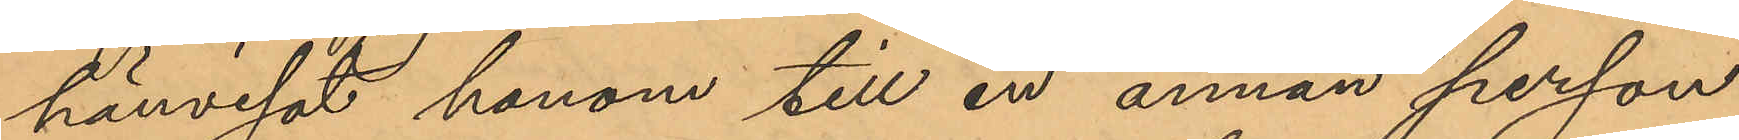hänvisat honom till en annan person,
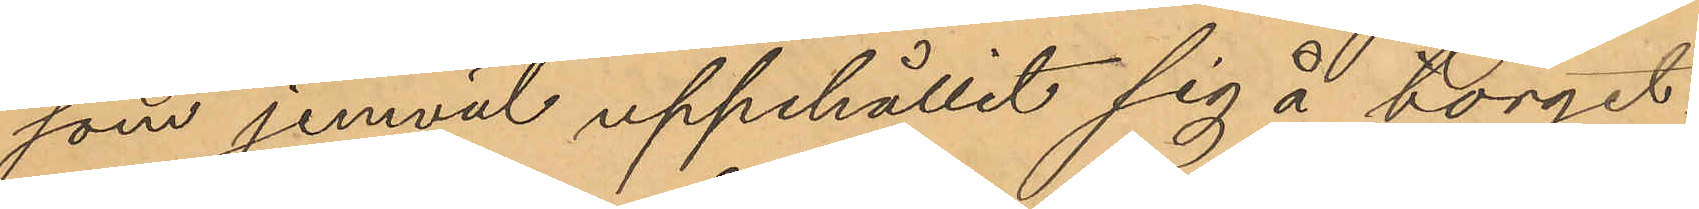som jemväl uppehållit sig å torget;
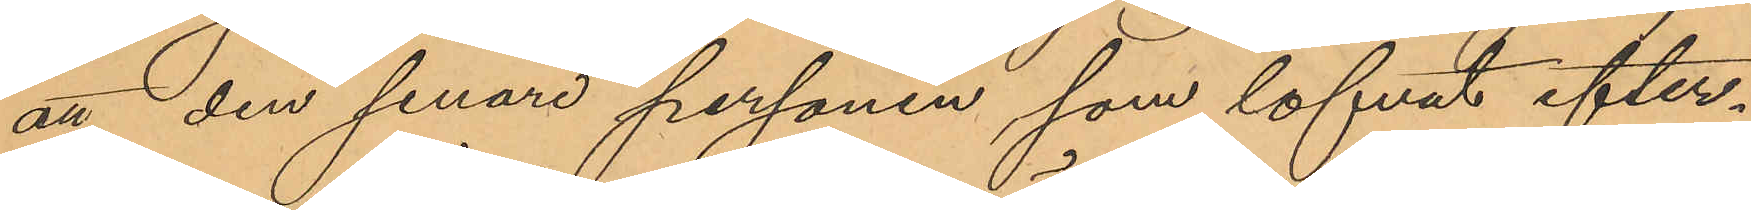att den senare personen som lofvat efter¬
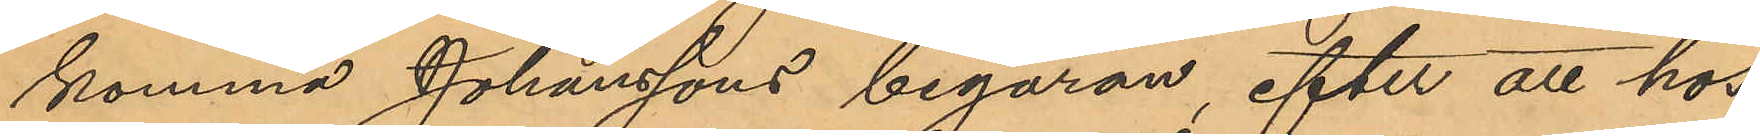komma Johanssons begäran, efter att hos
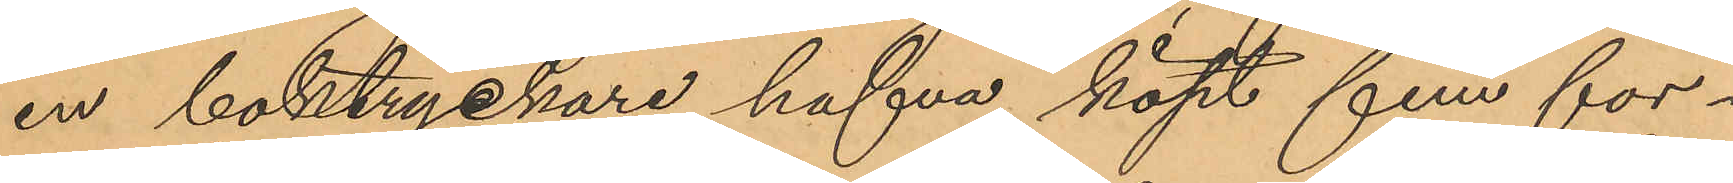en boktryckare hafva köpt fem för¬
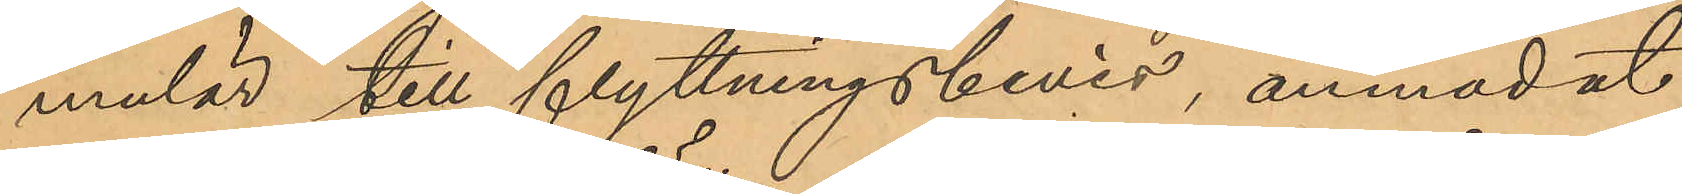mulär till flyttningsbevis, anmodat
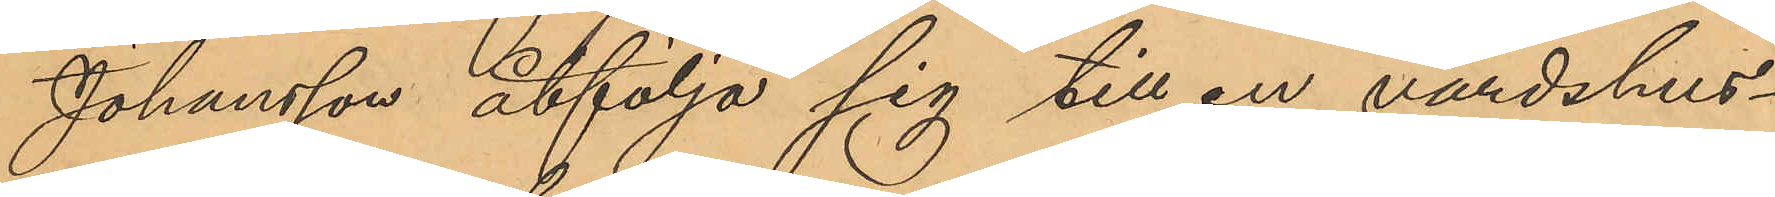Johansson åtfölja sig till en värdshus¬
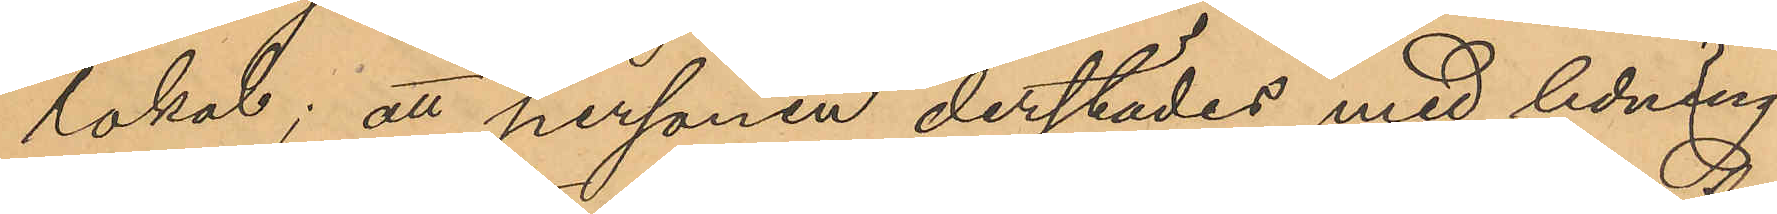lokal; att personen derstädes med ledning
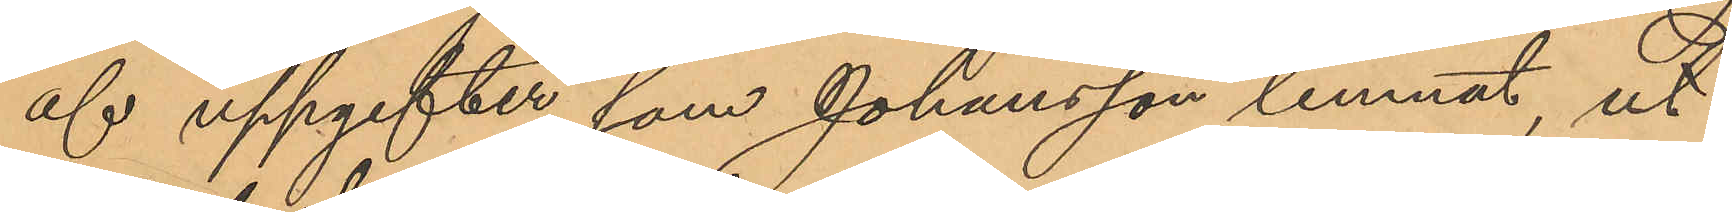af uppgifter som Johansson lemnat, ut¬
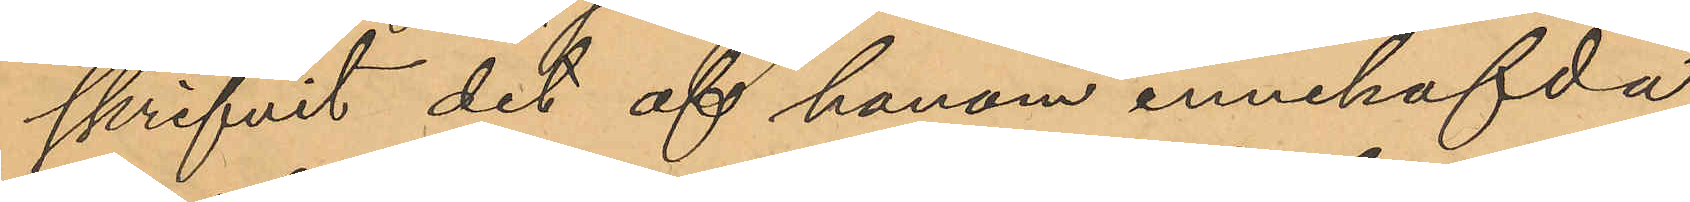skrifvit det af honom innehafvda
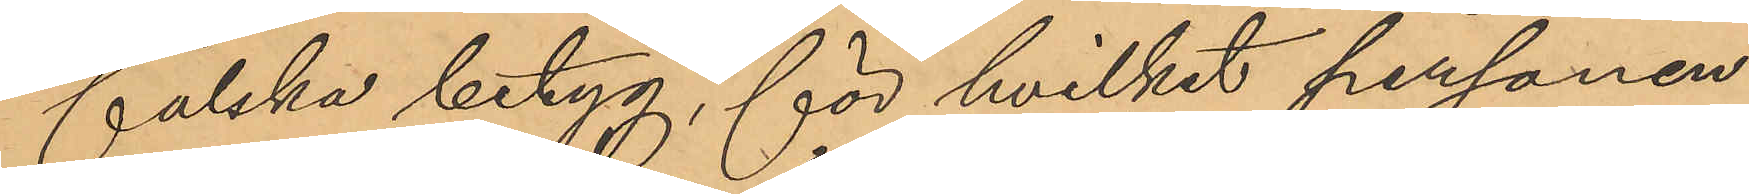falska betyg, för hvilket personen
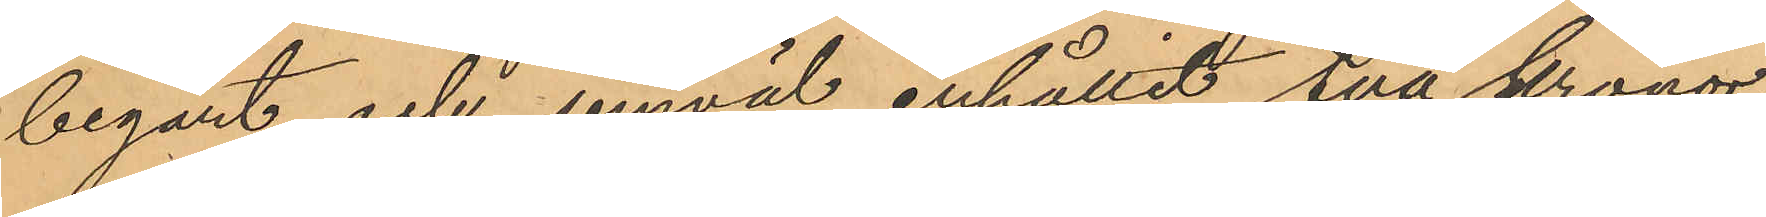begärt och jemväl erhållit två kronor;
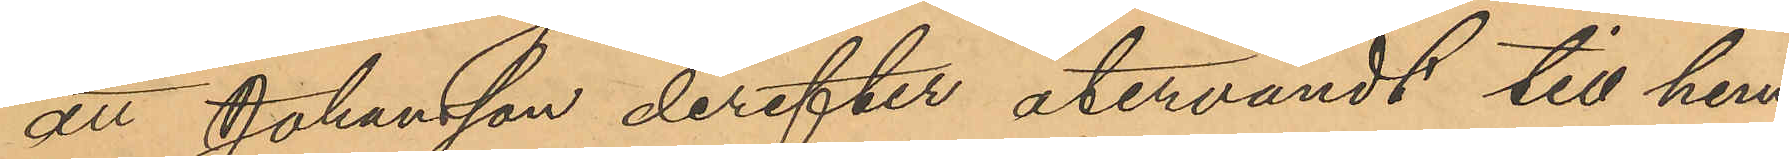att Johansson derefter återvändt till hem¬
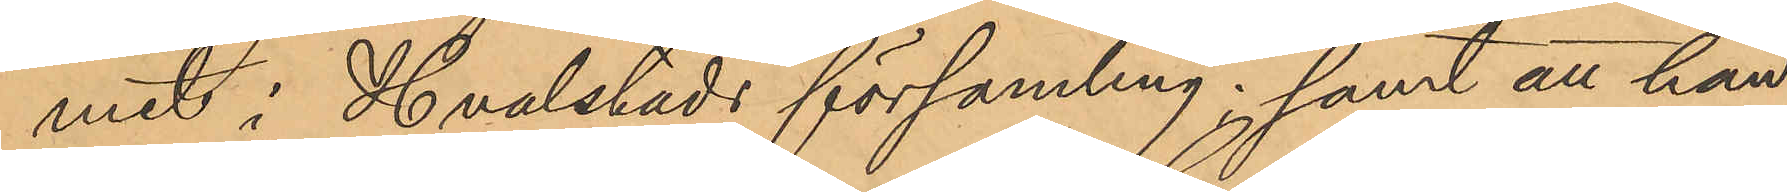met i Hvalstads församling; samt att han,
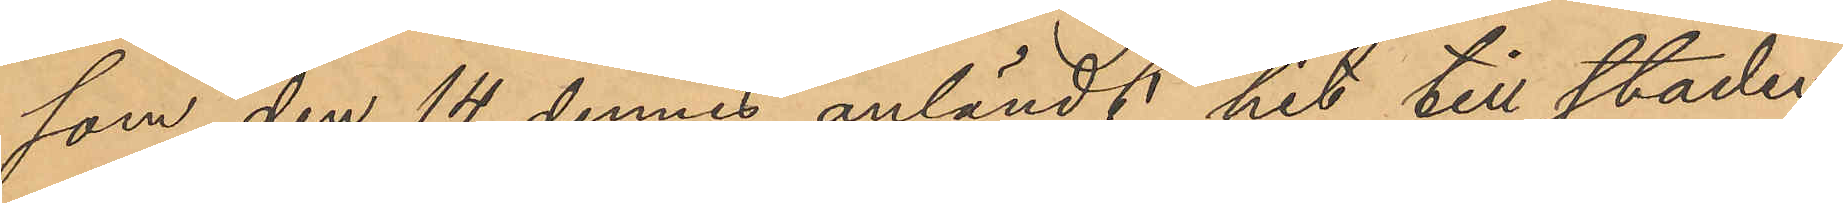som den 14 dennes anländt hit till staden,
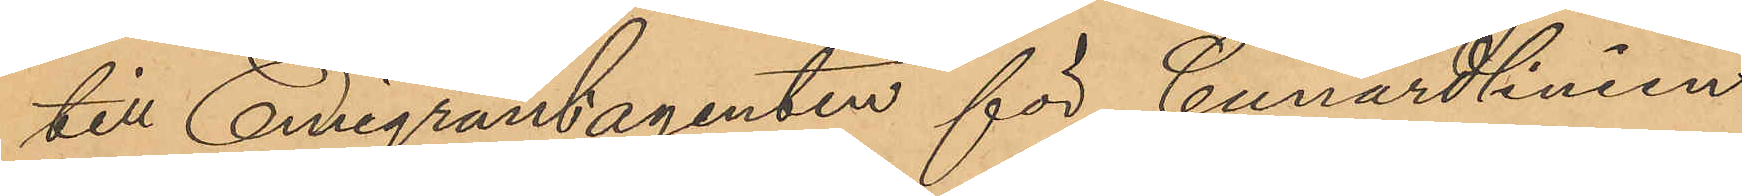till Emigrantagenten för Cunardlinien,
